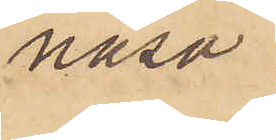näsa.
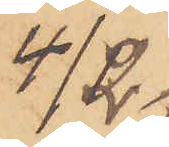4/2 
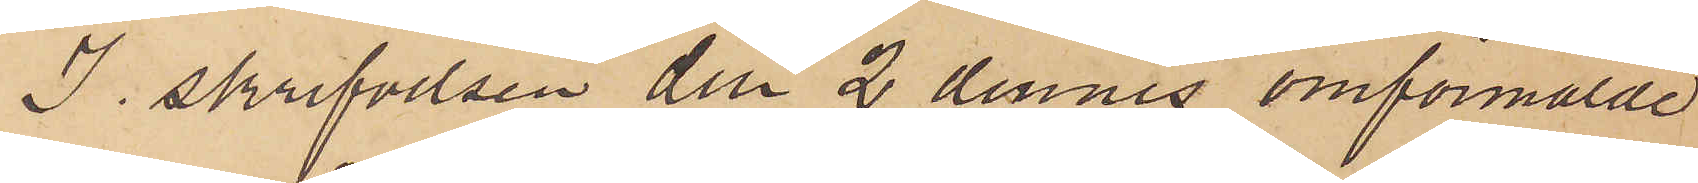I skrifvelsen den 2 dennes omförmälde
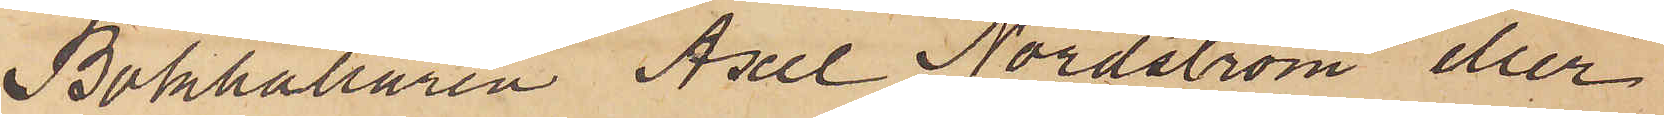Bokhållaren Axel Nordström eller
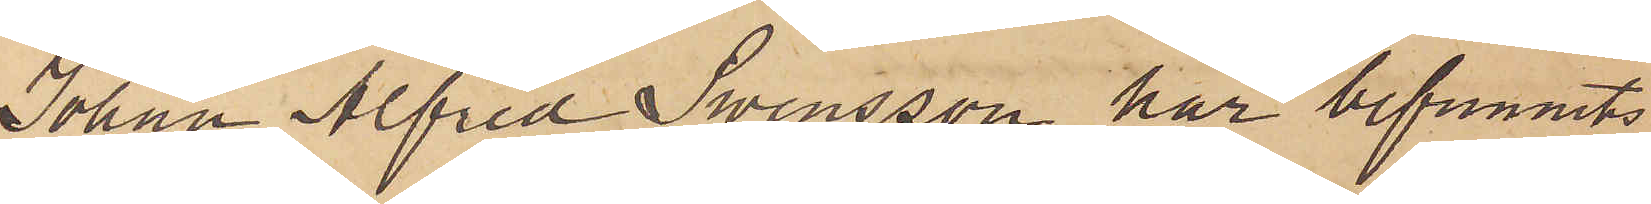Johan Alfred Swensson har befunnits
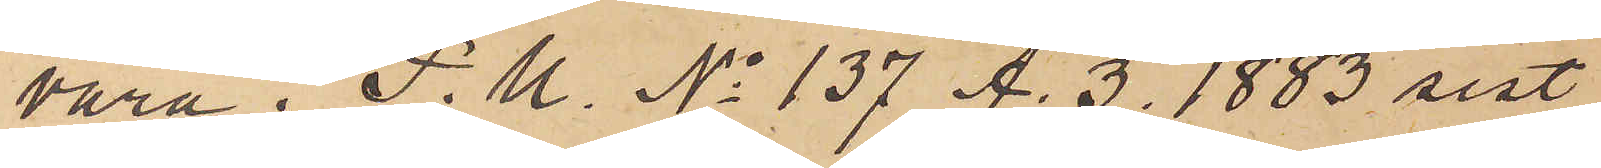vara i P. U. No 137 A. 3. 1883 sist
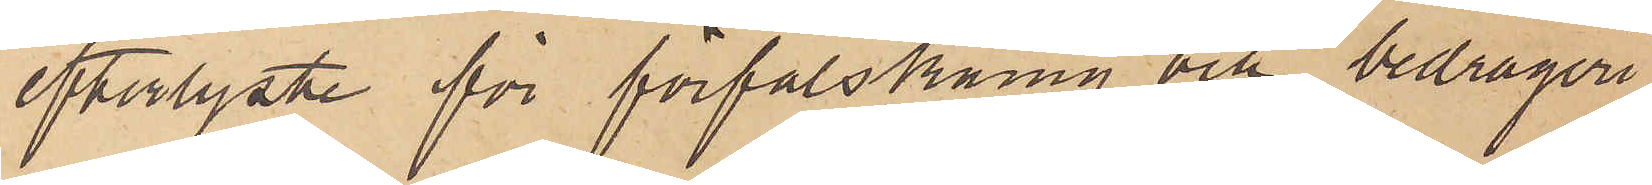efterlyste för förfalskning och bedrägeri
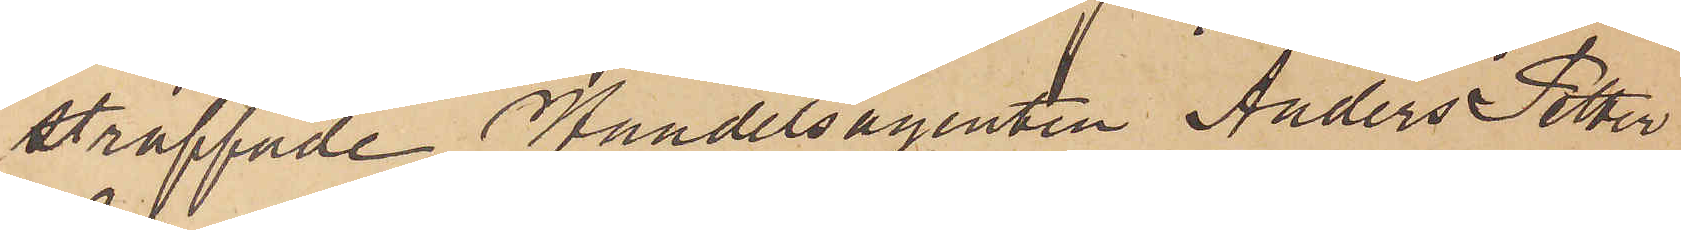straffade Handelsagenten Anders Petter
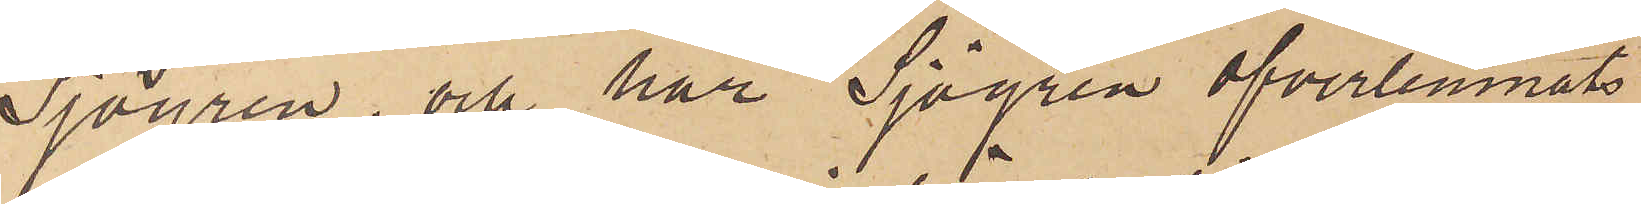Sjögren, och har Sjögren öfverlemnats
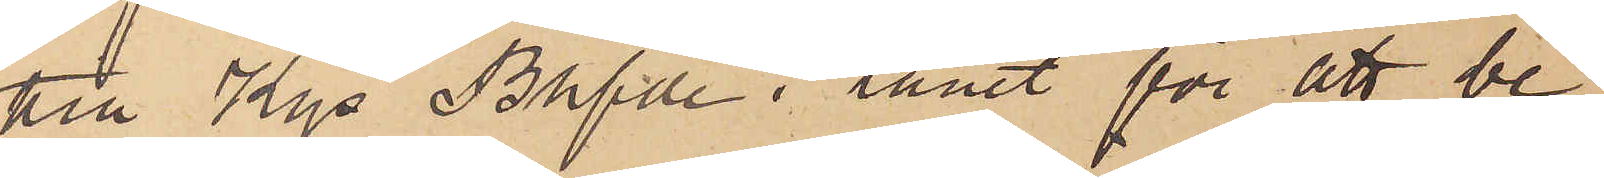till Kgs Bhfde i länet för att be¬
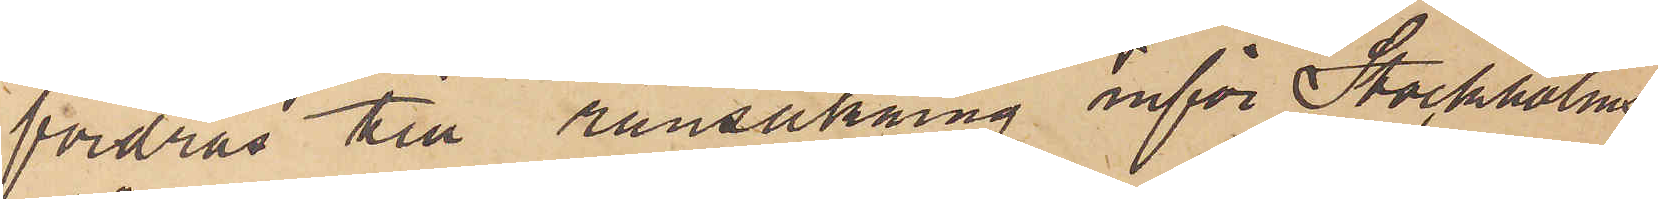fordras till ransakning inför Stockholms
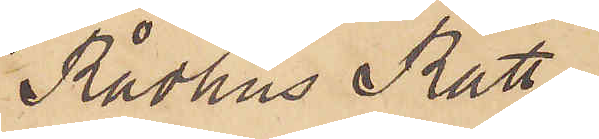Rådhus Rätt.
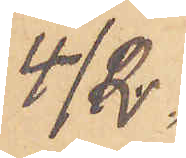4/2
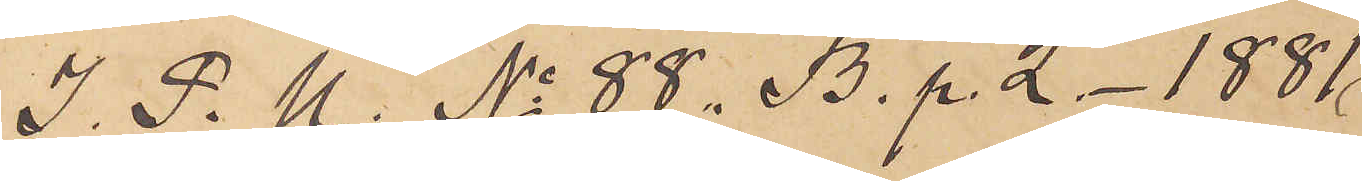I. P. U. No 88. B. p. 2 - 1881
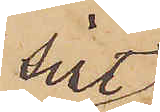sist
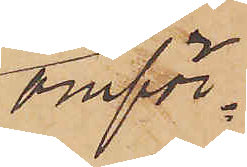omför¬
